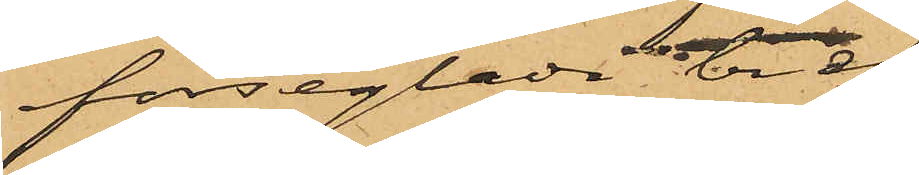förseglade bref.
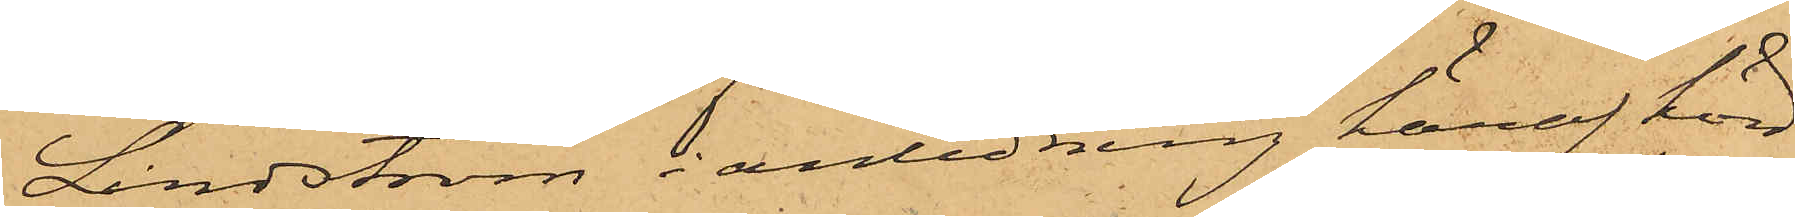Lindström i anledning häraf hörd
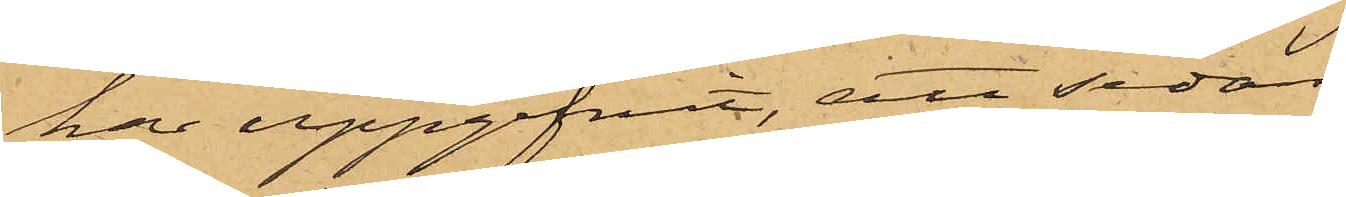har uppgifvit, att sedan
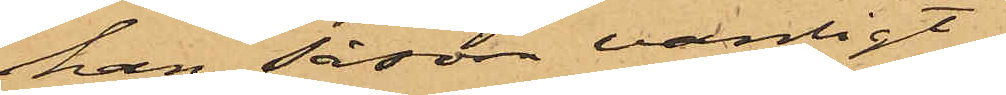han såsom vanligt
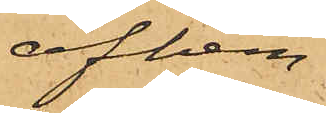afhem¬
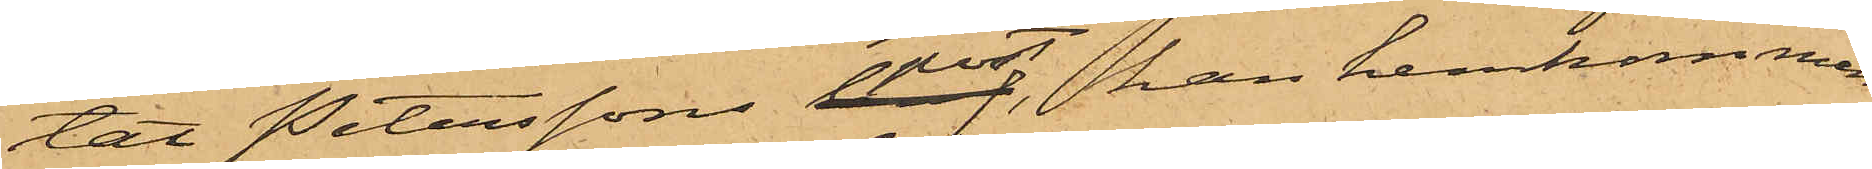tat Peterssons post, han hemkommen
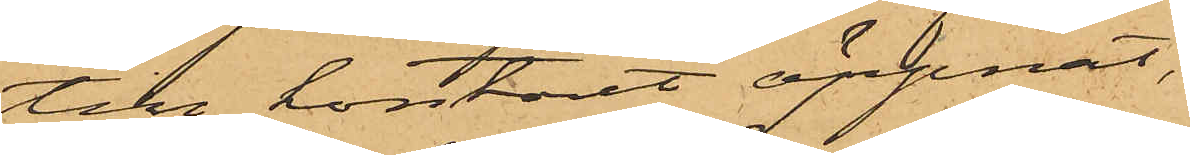till kontoret öppnat,
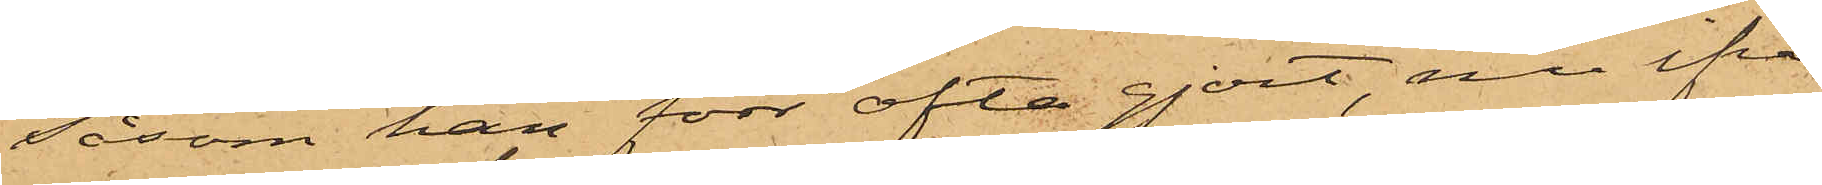såsom han förr ofta gjort, nu ifrå¬
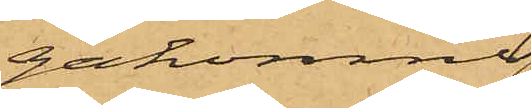gakomne
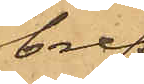bref,
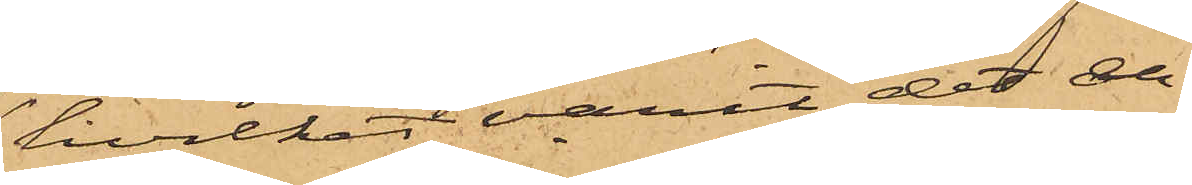hvilket varit det en¬
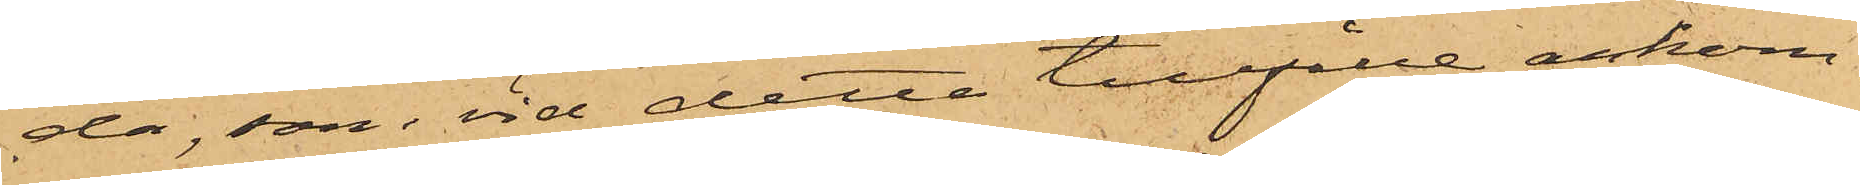da, som vid detta tillfälle ankom¬
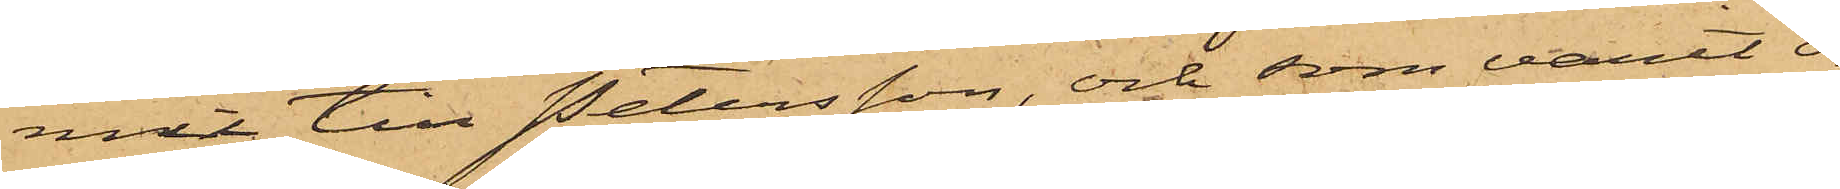mit till Petersson, och som varit o¬
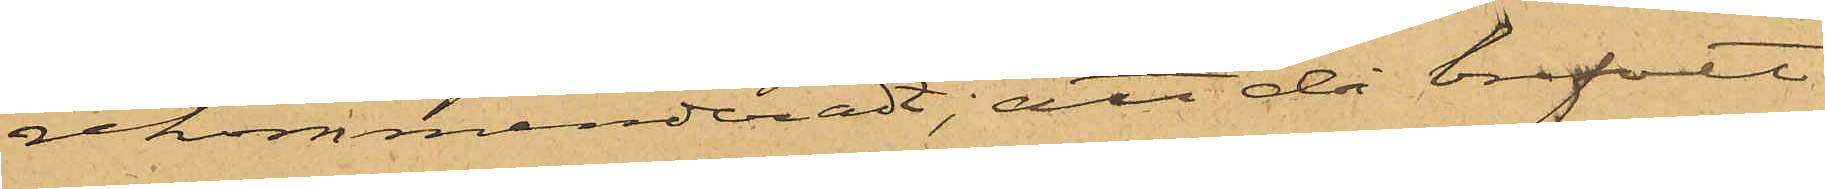rekommenderadt; att då brefvet
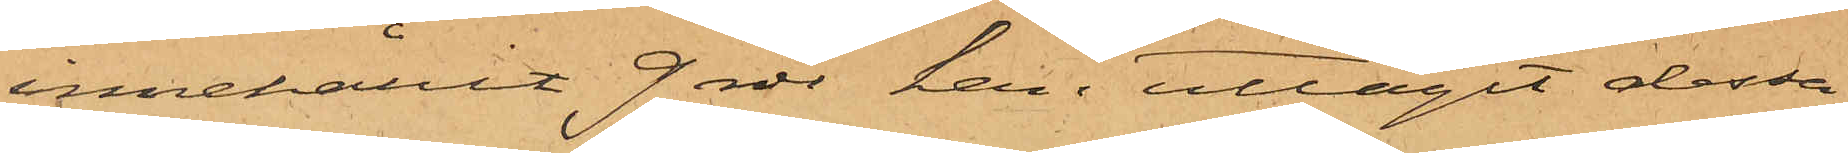innehållit 9 rdr han uttagit dessa
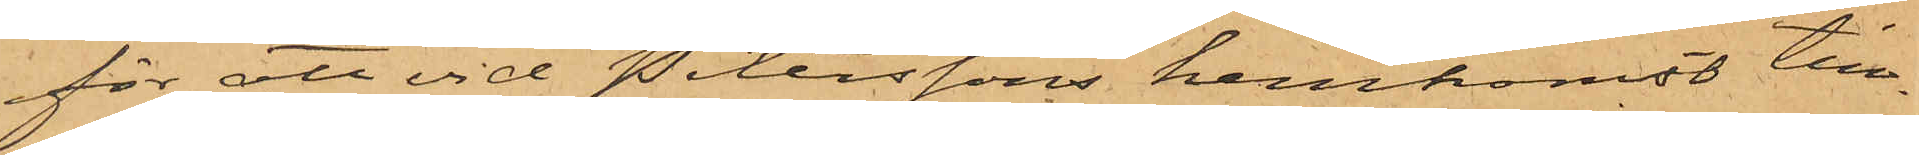för att vid Peterssons hemkomst till¬
